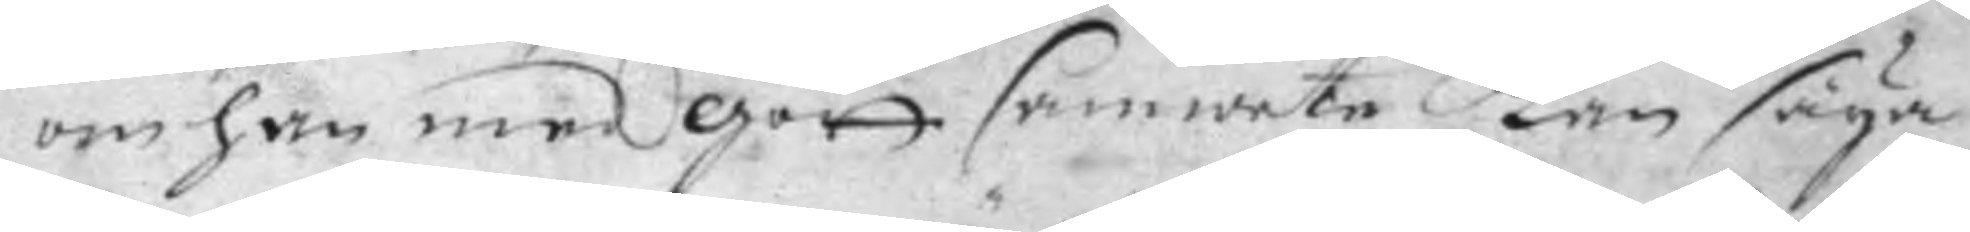om han med gott samwete kan säya
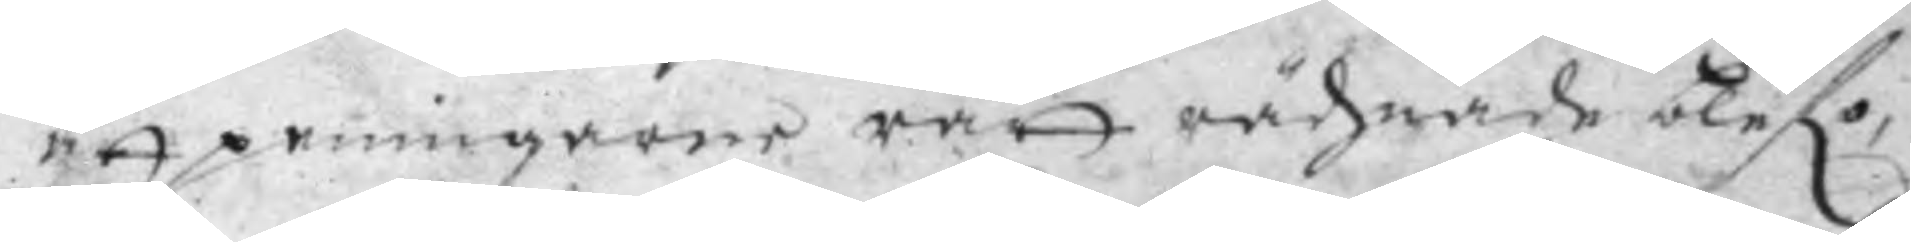att penningarne rätt rächnade blefo,
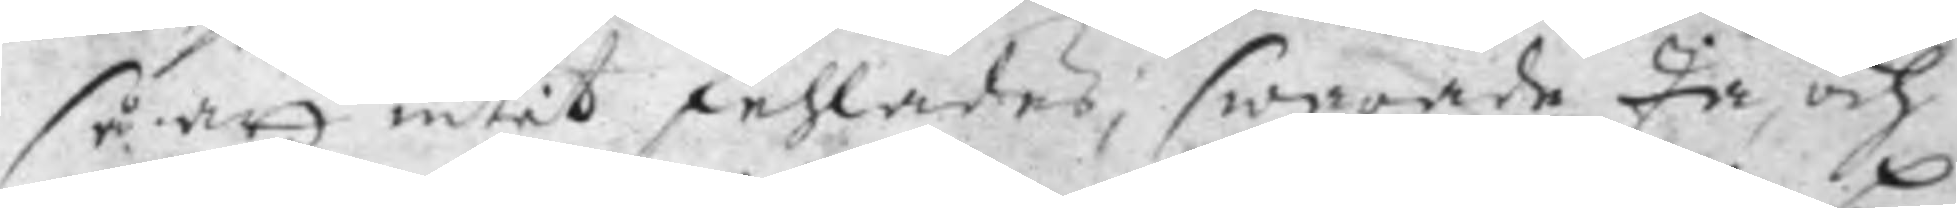så att intet fehlades; swarade Ja, och
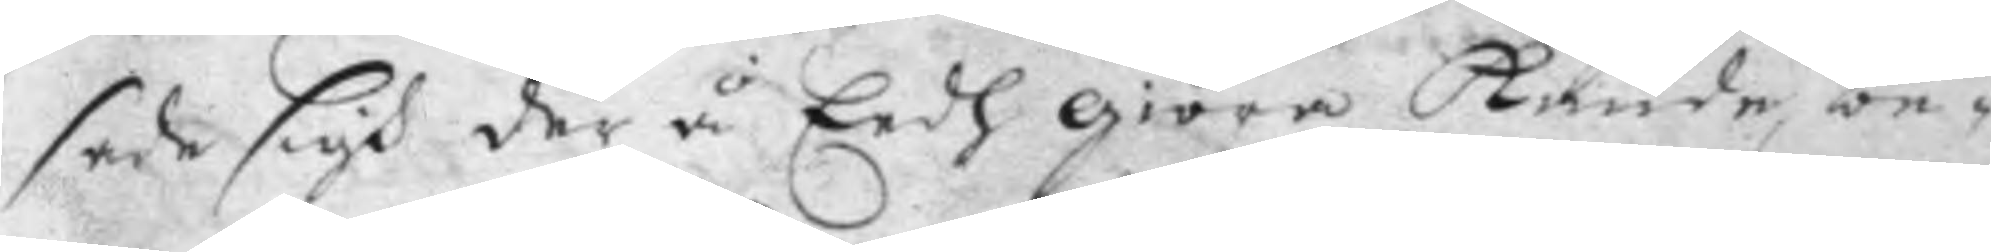sade sigh der å Eedh giöra kunde, be¬
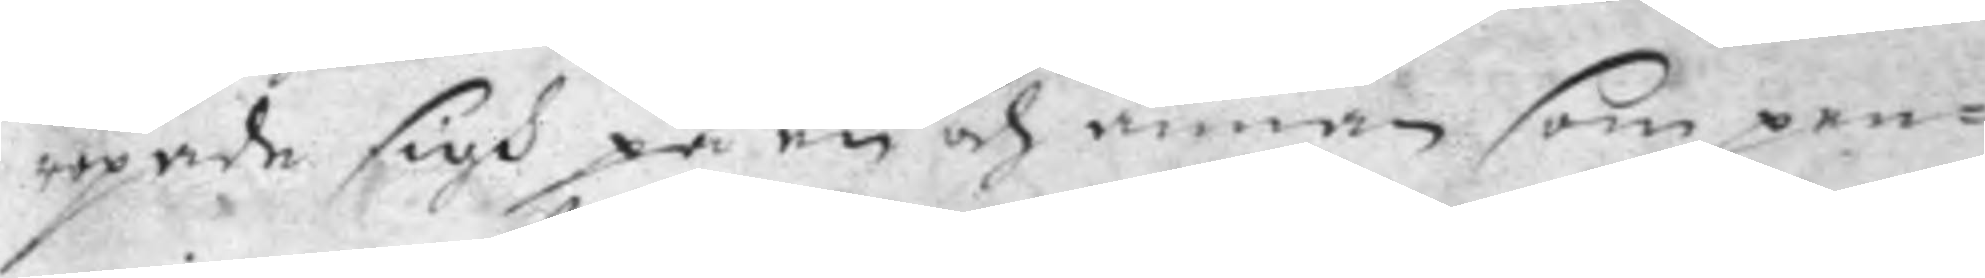ropade sigh på en och annan som pen¬
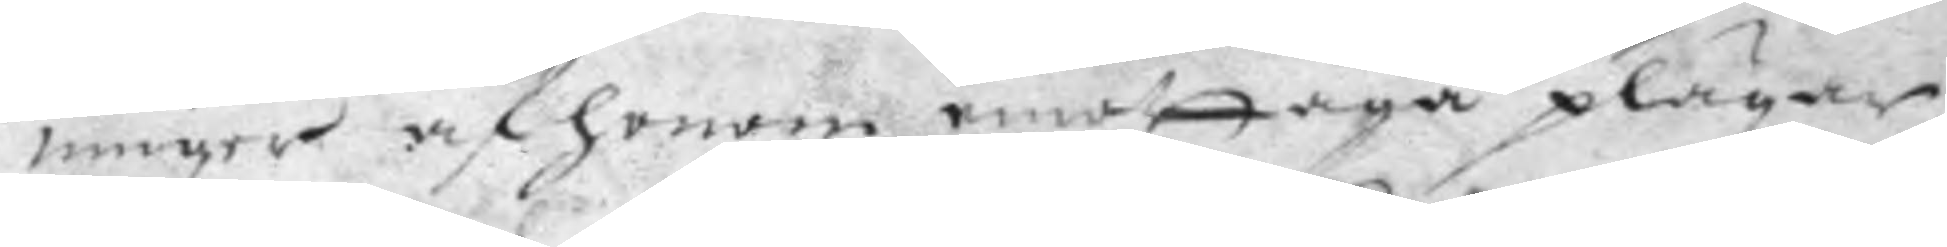ninger af honom emottaga plägar
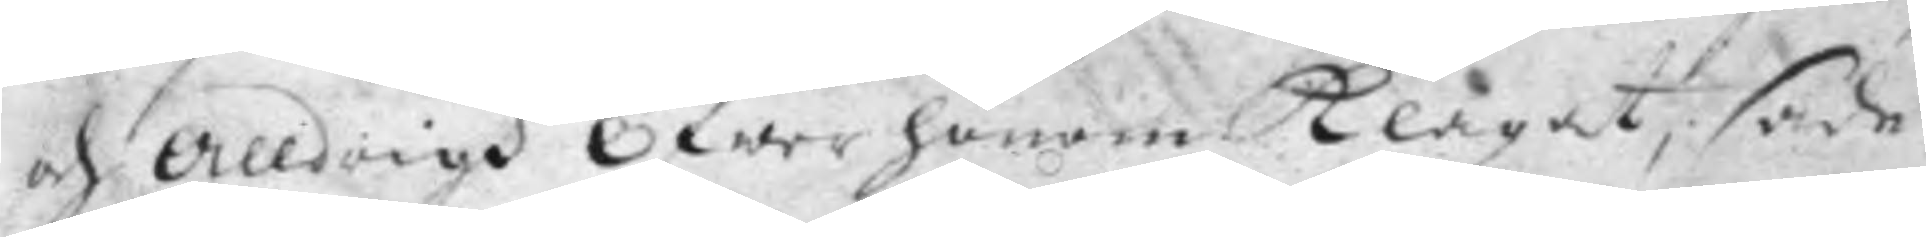och Alldrigh Öfwer honom Klagat, sade
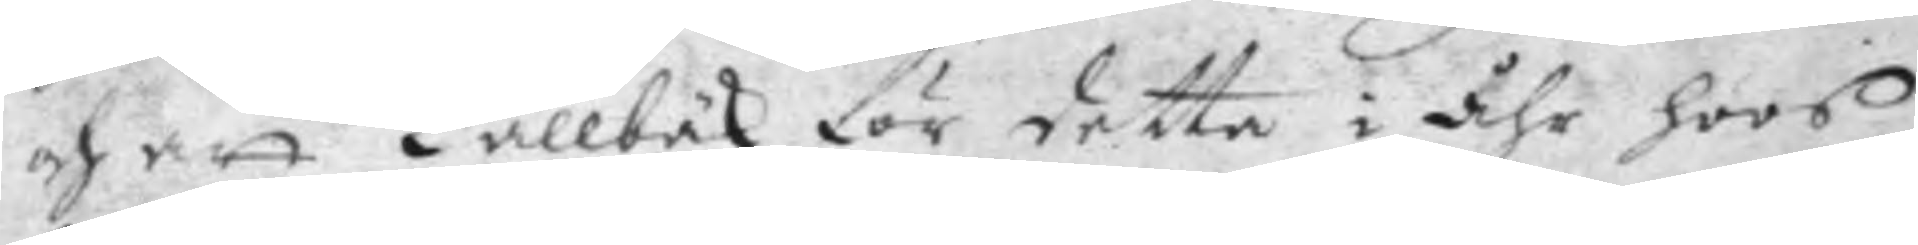och att Kallbäk för detta i åhr hoos
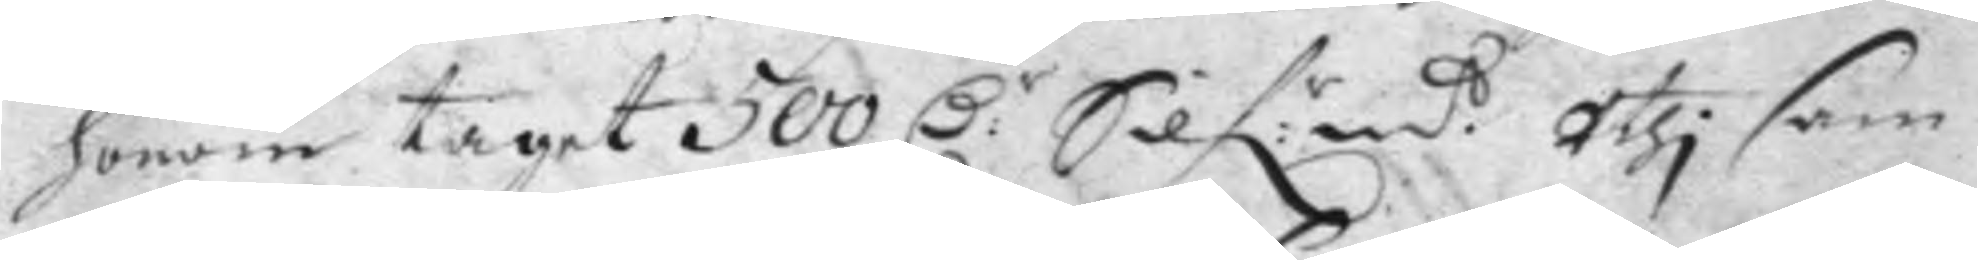honom taget 500 D:r Silf:mt Uthi sam¬ 
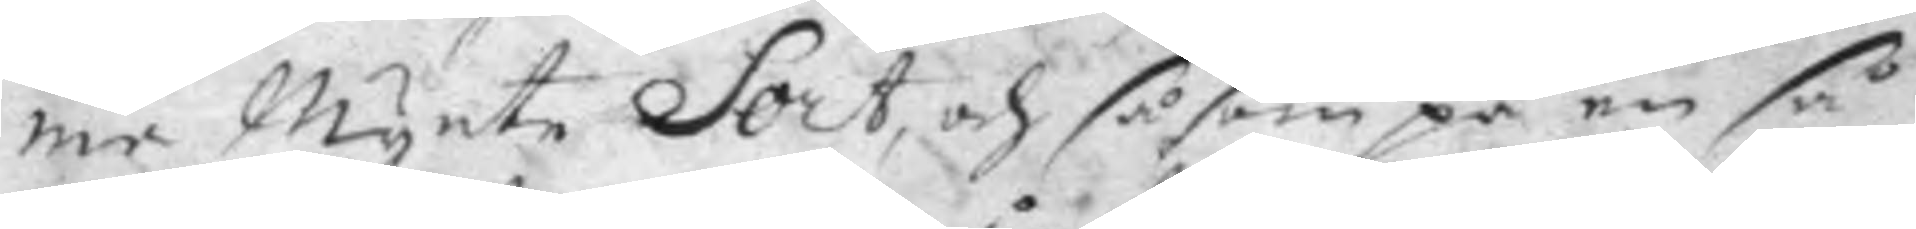me Mynte Sort, och såsom på en så
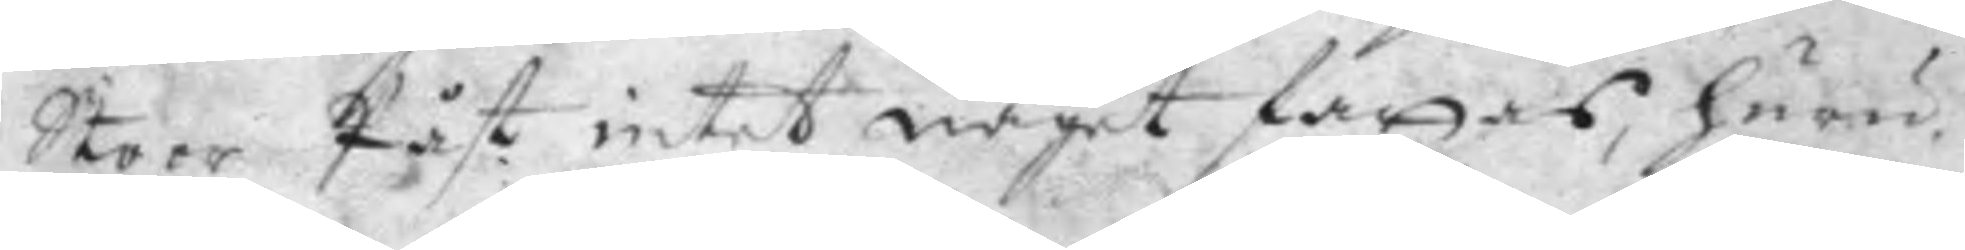Stoor Påst intet något fattas, huru
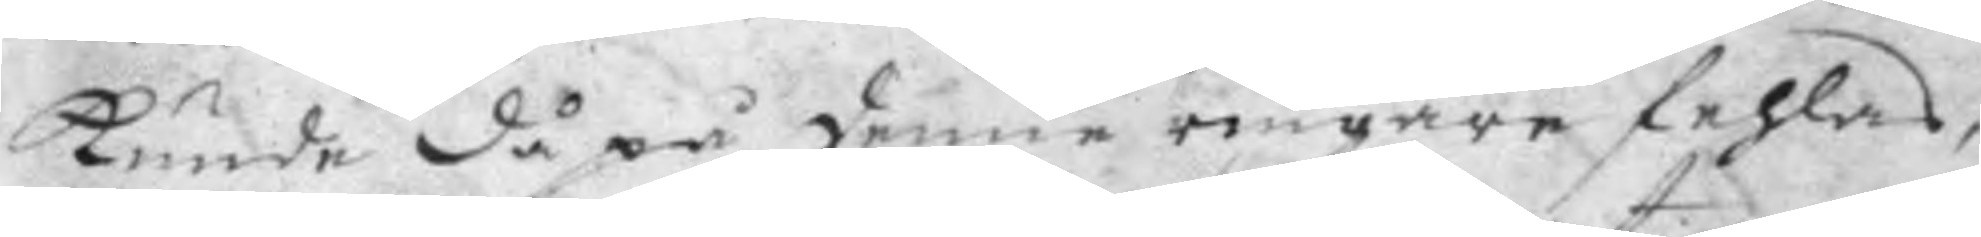Kunde då på denne ringare fehlas,
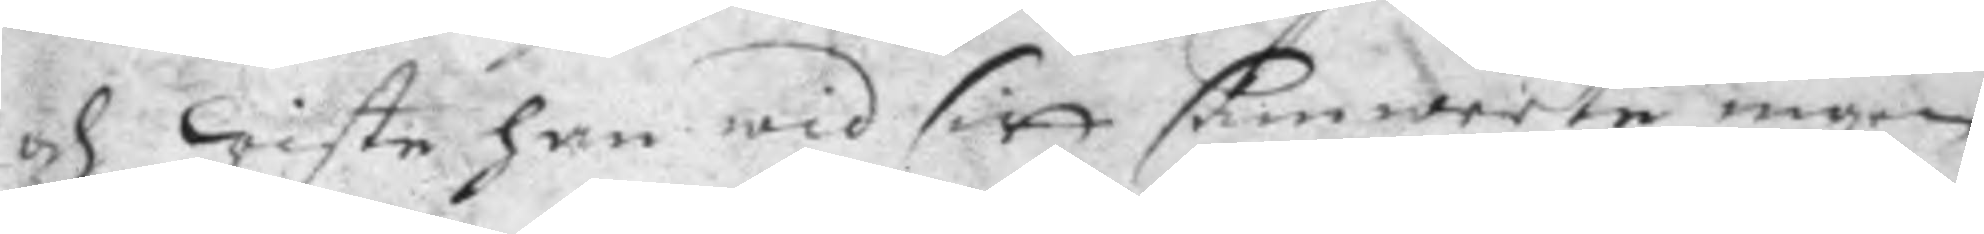och wiste han wid sitt samweete ingen
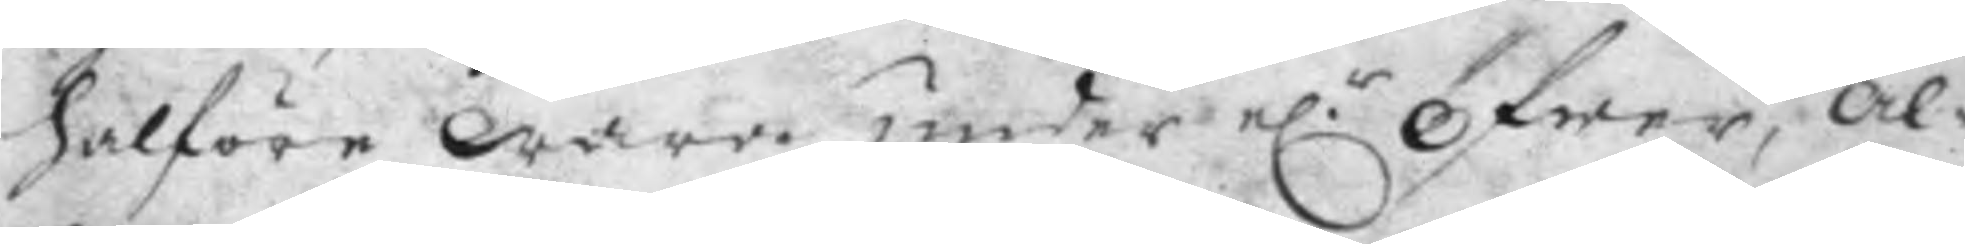halföre wara under e.r Öfwer, Al¬ 
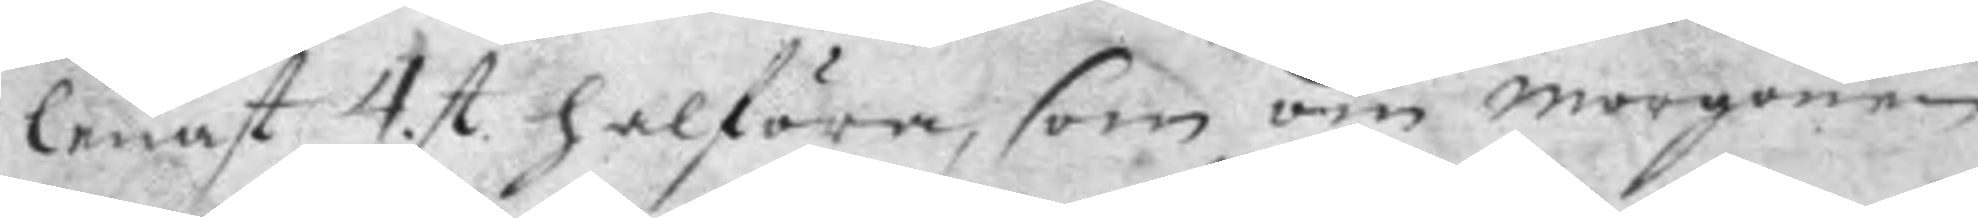lenast 4 st halföra, som om morgonen 
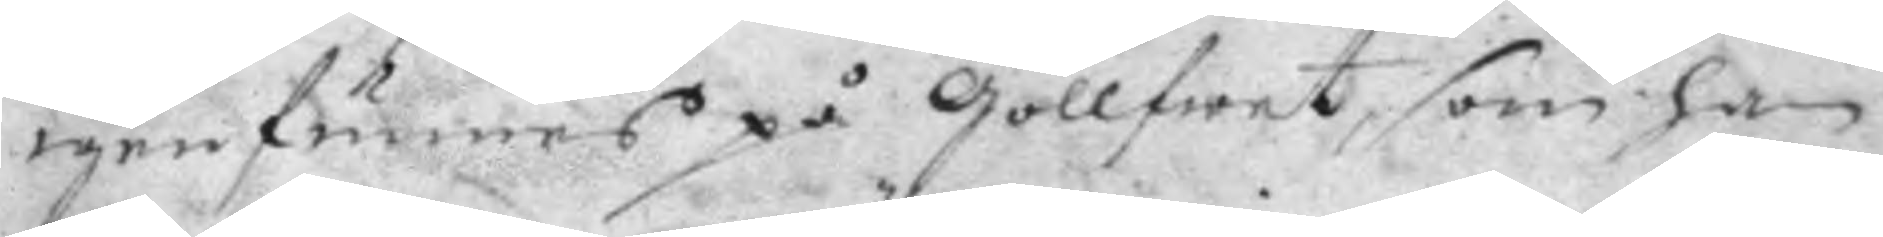igenfunnes på Gollfwet, som han
